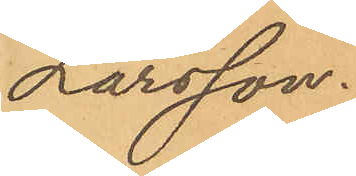Larsson.
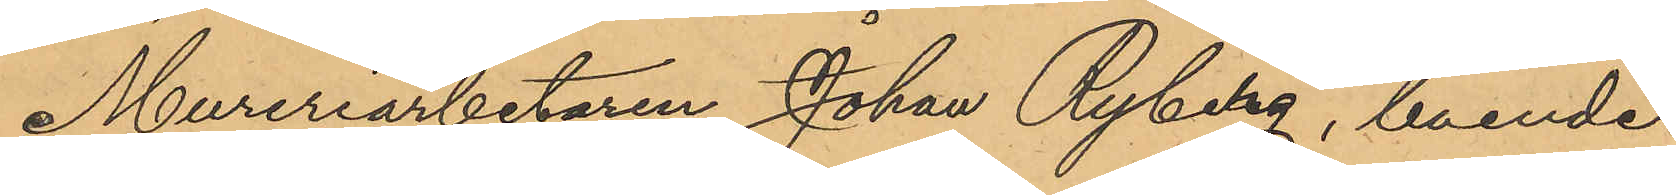Mureriarbetaren Johan Ryberg, boende
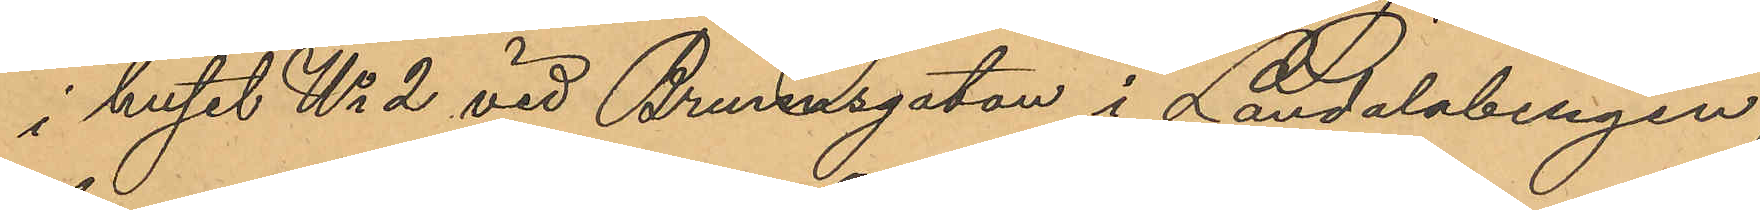i huset No 2 vid Brunnsgatan i Landalabengen,
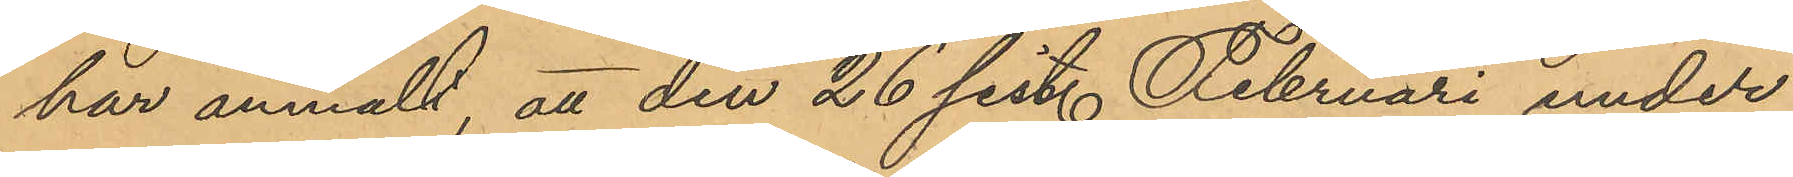har anmält, att den 26 sist. Februari under
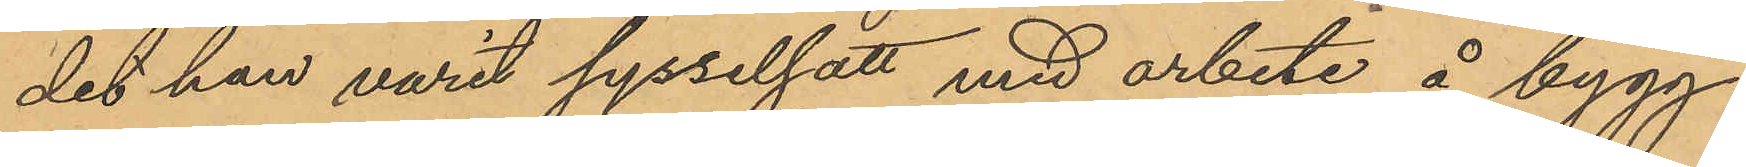det han varit sysselsatt med arbete å bygg¬
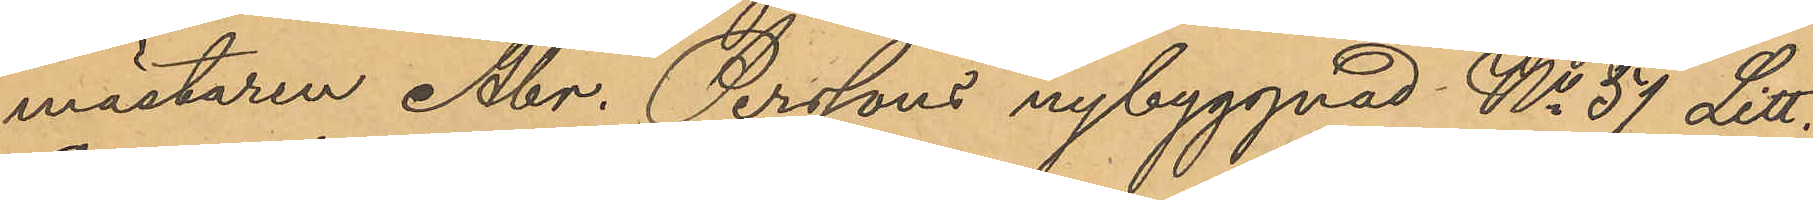mästaren Abr. Perssons nybyggnad No 57 Litt.
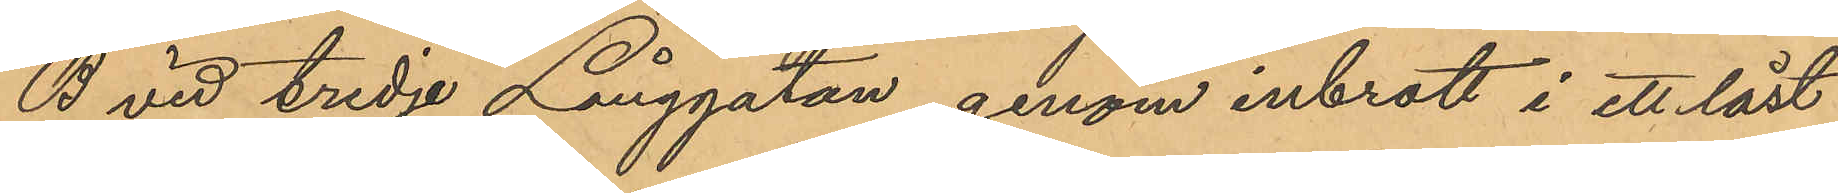B vid tredje Långgatan, genom inbrott i ett låst
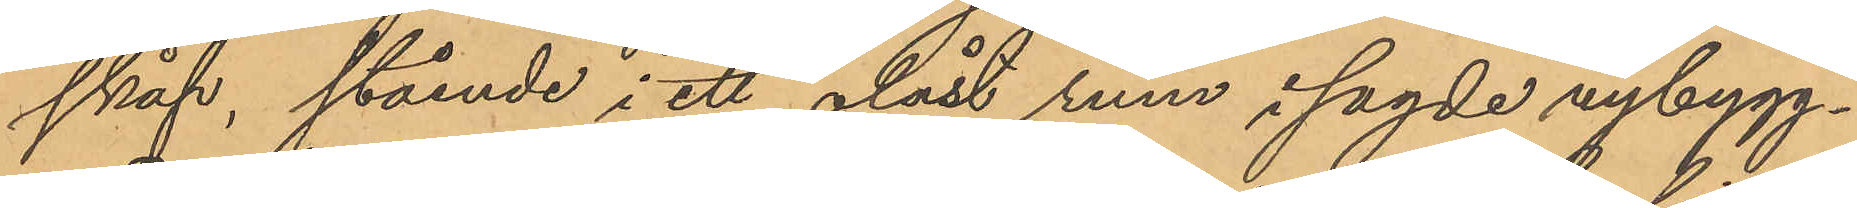skåp, stående i ett olåst rum i sagde nybygg¬
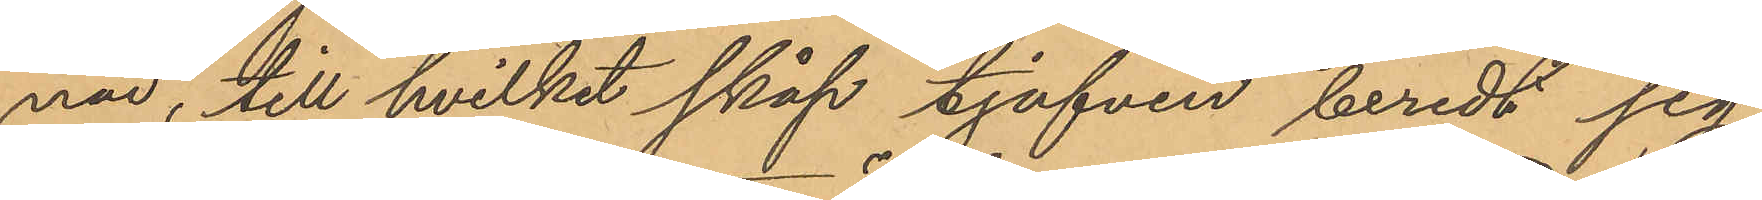nad, till hvilket skåp tjufven beredt sig
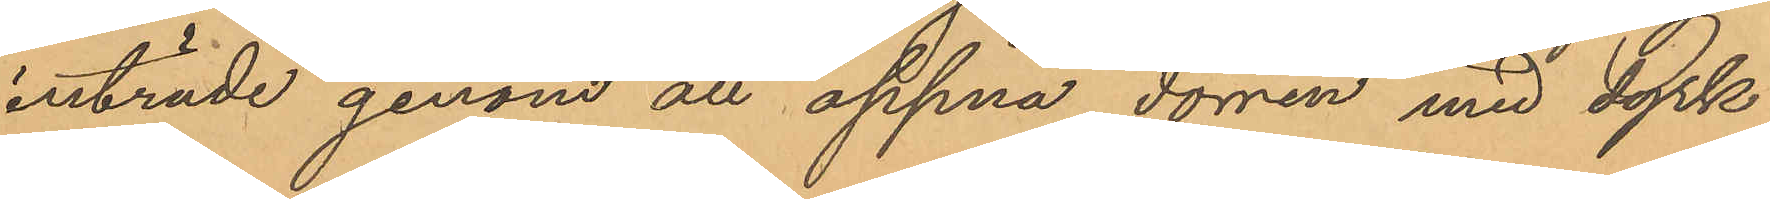inträde genom att öppna dörren med dyrk
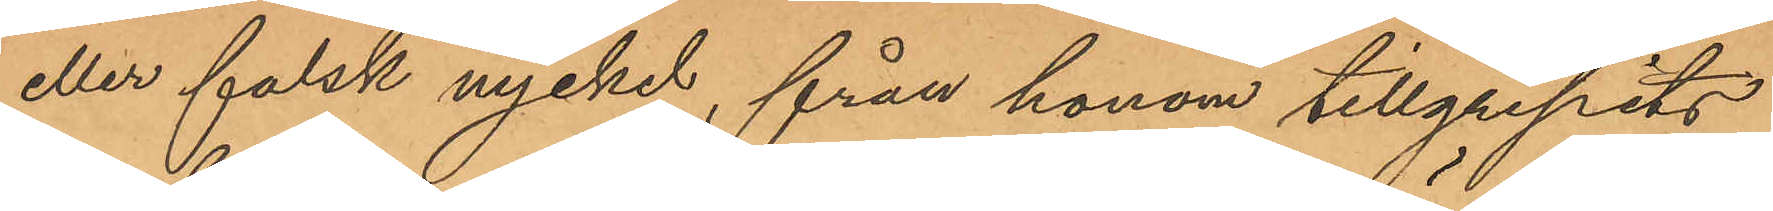eller falsk nyckel, från honom tillgripits
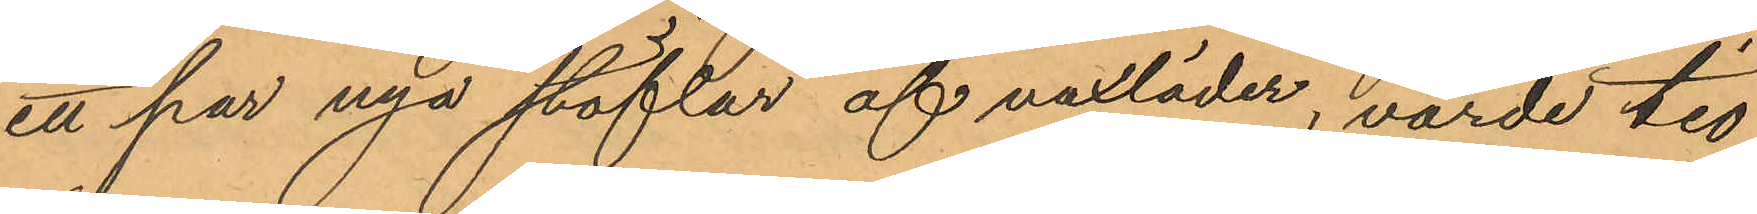ett par nya stöflar af vaxläder, värde tio
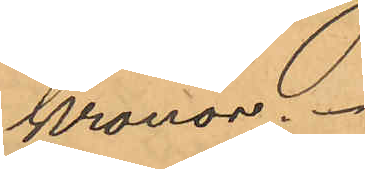Kronor.
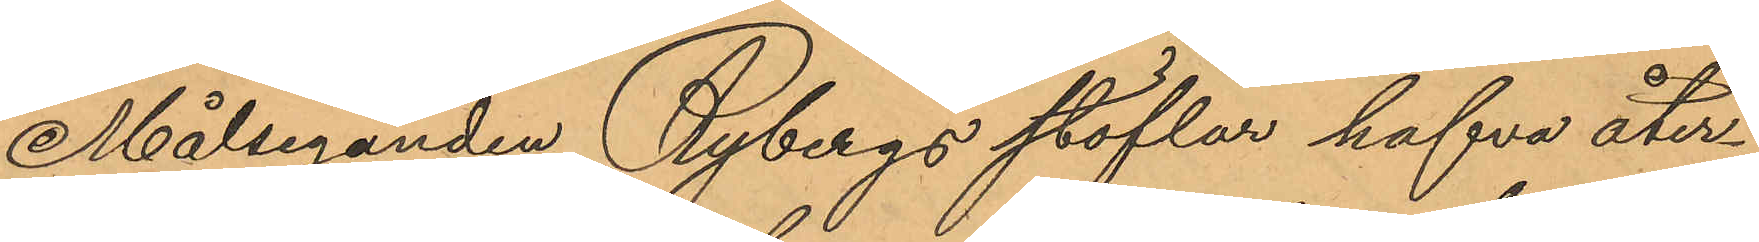Målseganden Rybergs stöflar hafva åter¬
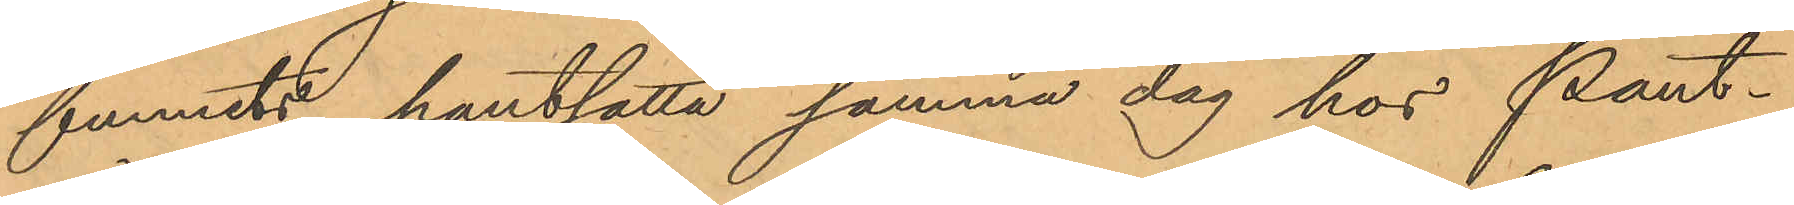funnits pantsatta samma dag hos Pant¬
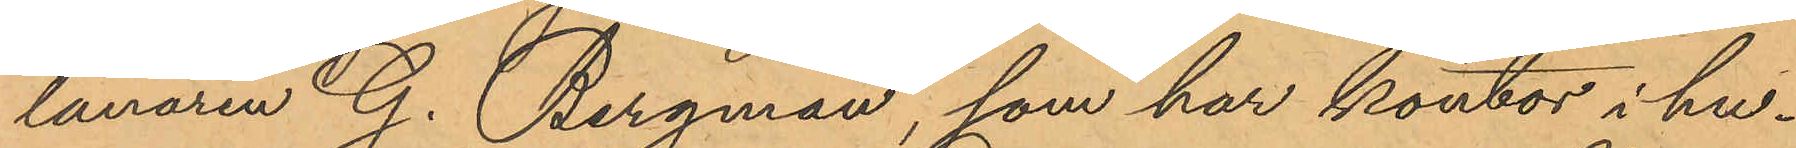lånaren G. Bergman, som har kontor i hu¬
